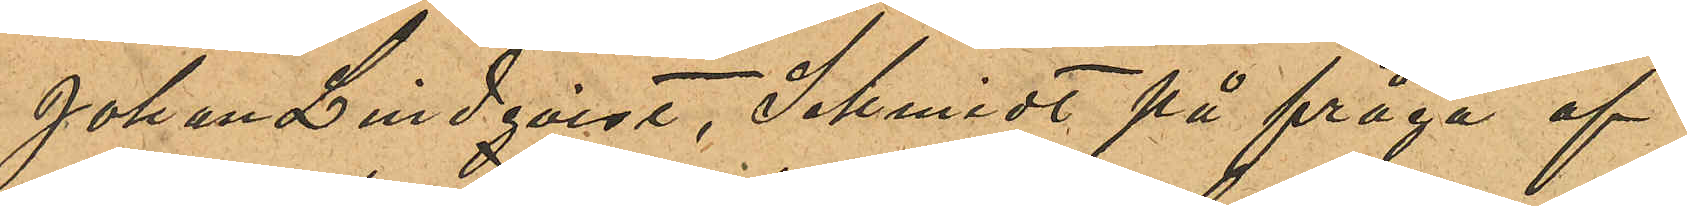Johan Lindqvist, Schmidt på fråga af
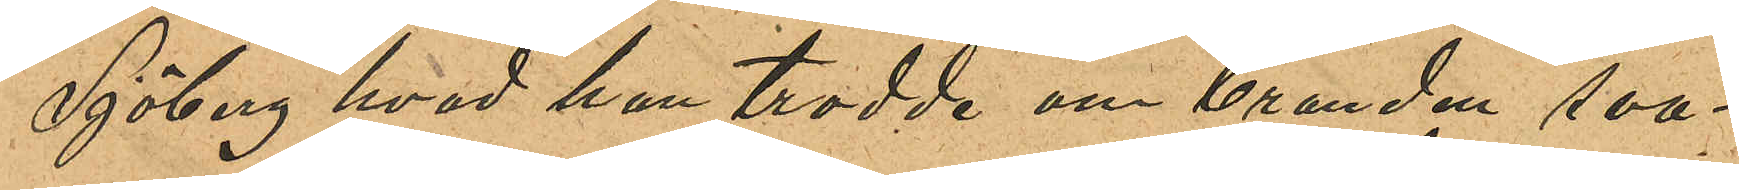Sjöberg hvad han trodde om branden sva¬
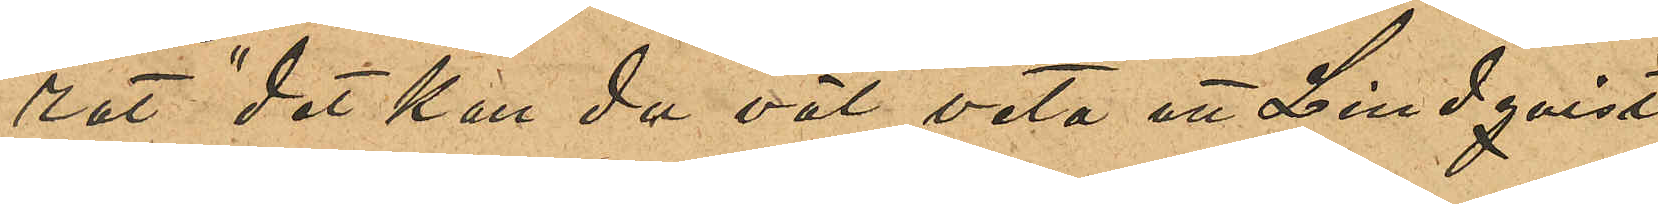rat "det kan du väl veta att Lindqvist,
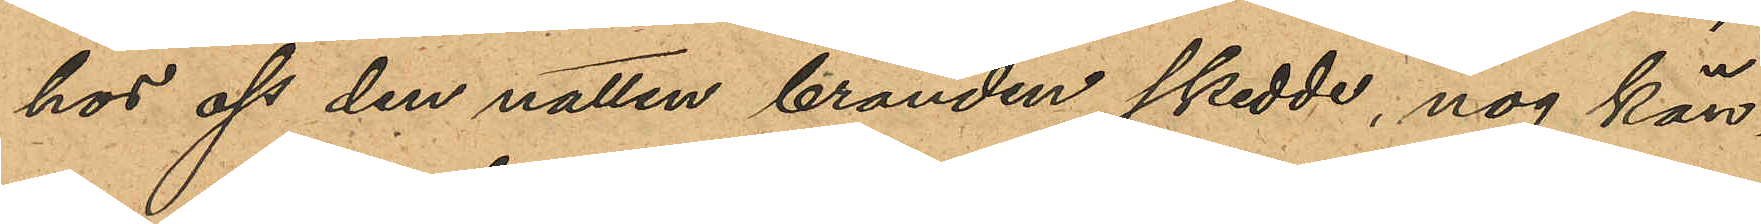hos oss den natten branden skedde, nog kän¬
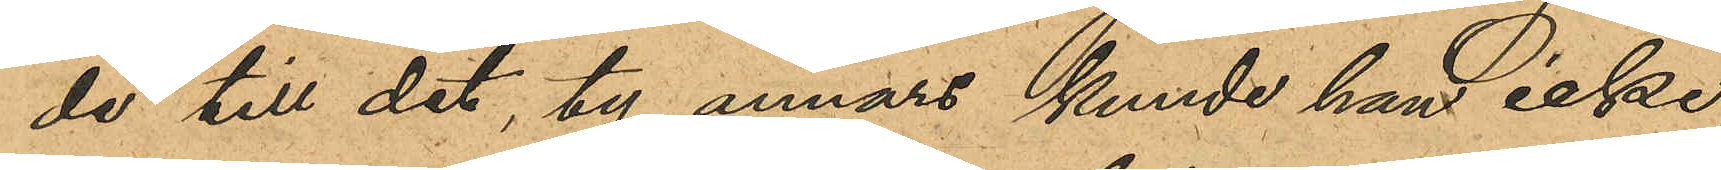de till det ty annars kunde han icke,
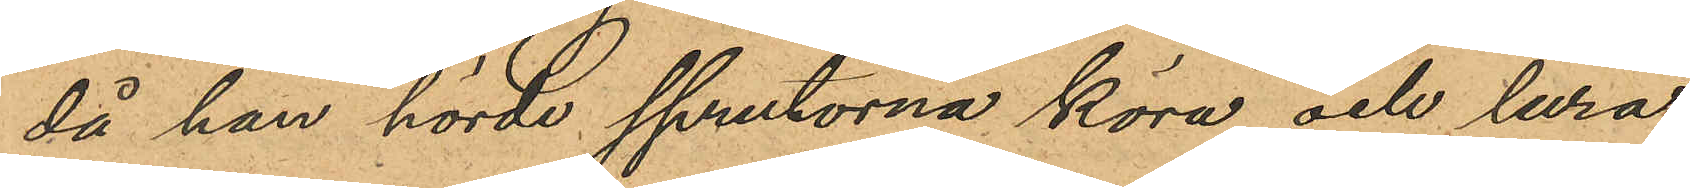då han hörde sprutorna köra och lura,
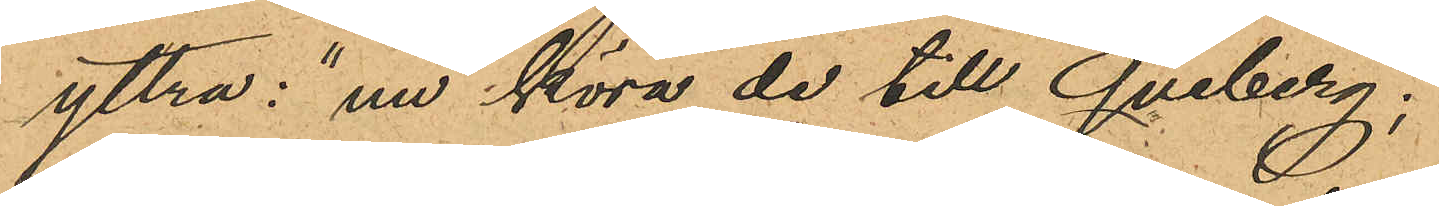yttra: "nu köra de till Qviberg";
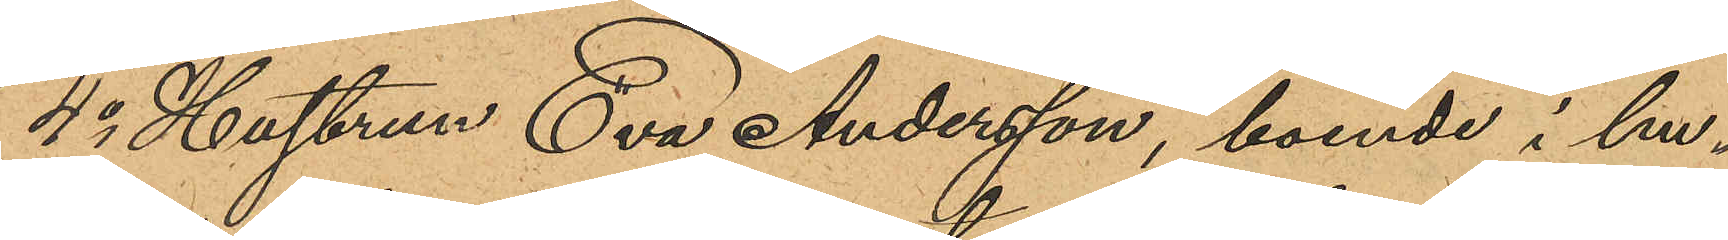4o Hustrun Eva Andersson, boende i hu¬
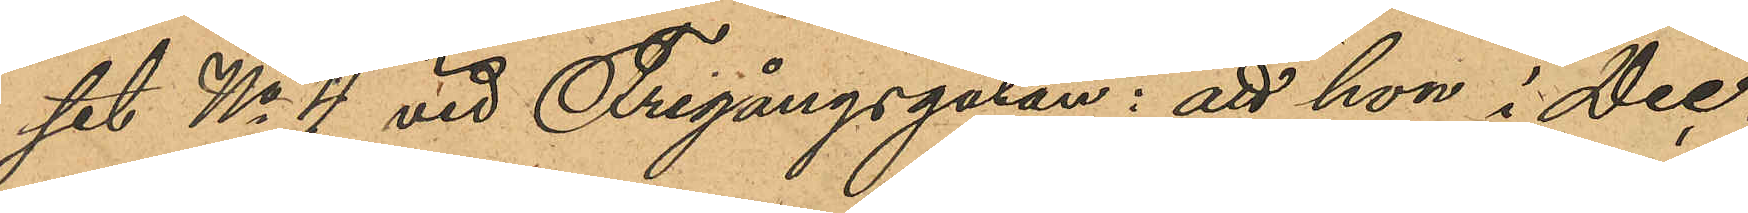set No 4 vid Frigångsgatan; att hon i Dec.
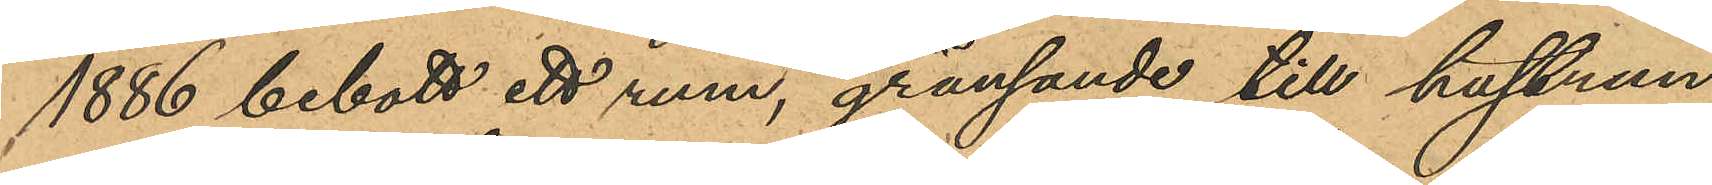1886 bebott ett rum, gränsande till hustrun
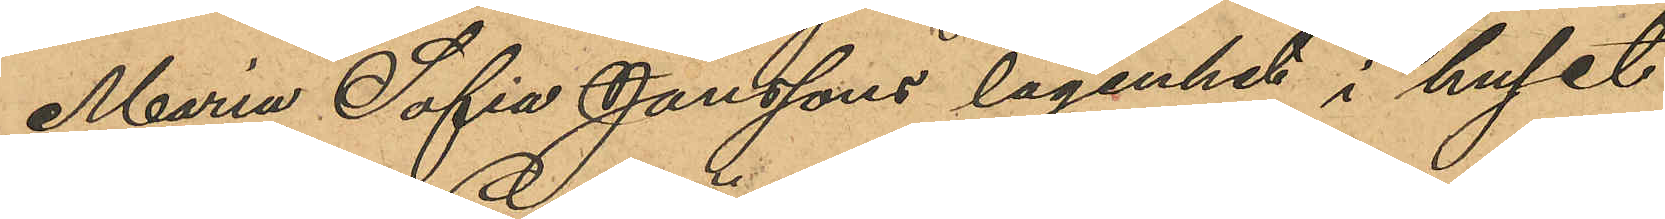Maria Sofia Janssons lägenhet i huset
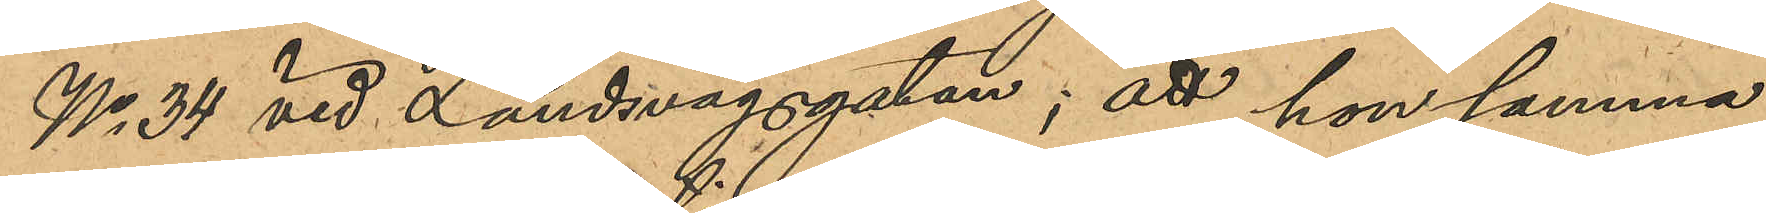No 34 vid Landsvägsgatan; att hon samma
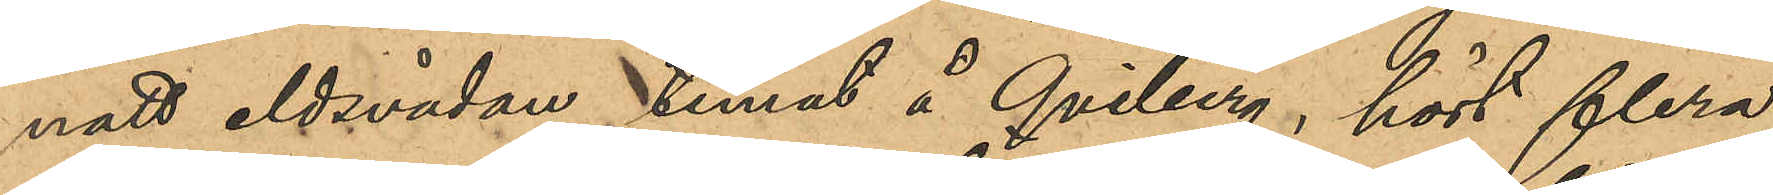natt eldsvådan timat å Qviberg, hört flera
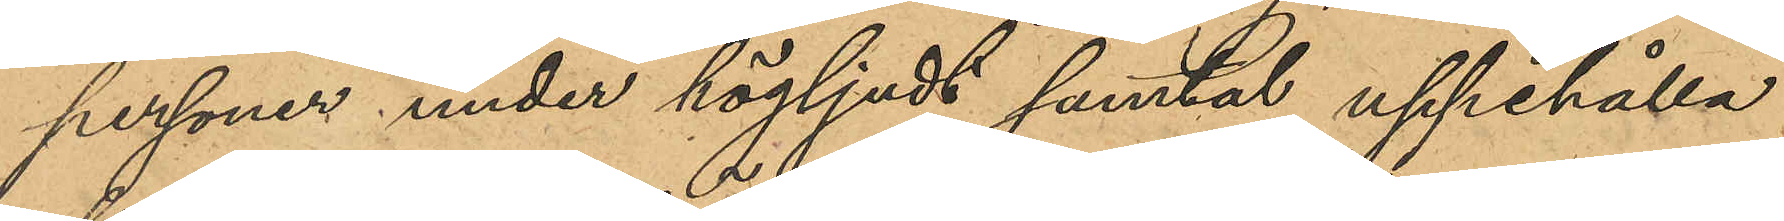personer under högljudt samtal uppehålla
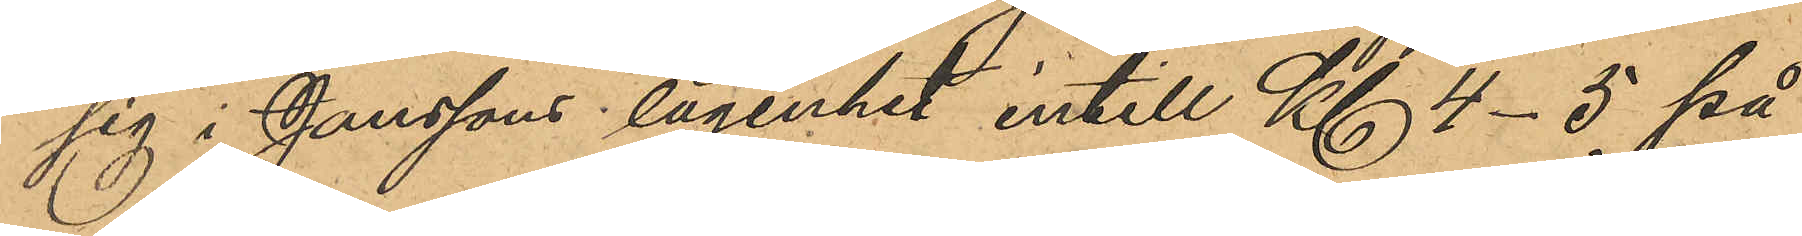sig i Janssons lägenhet intill Kl 4-5 på
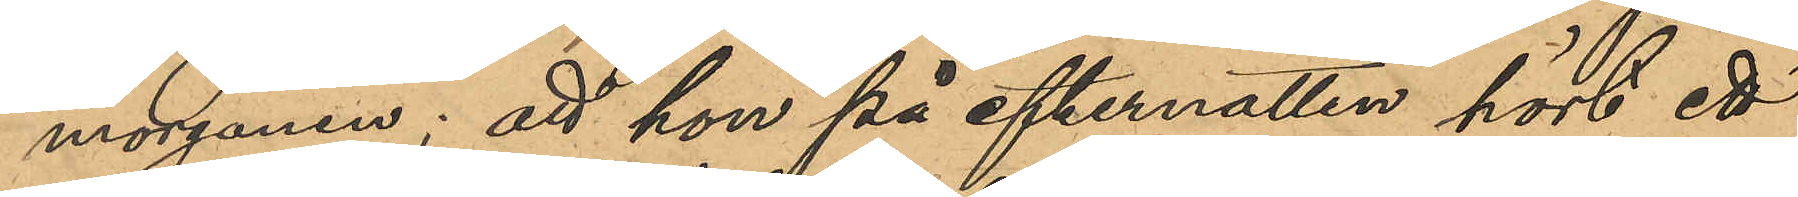morgonen; att hon på efternatten hört ett
